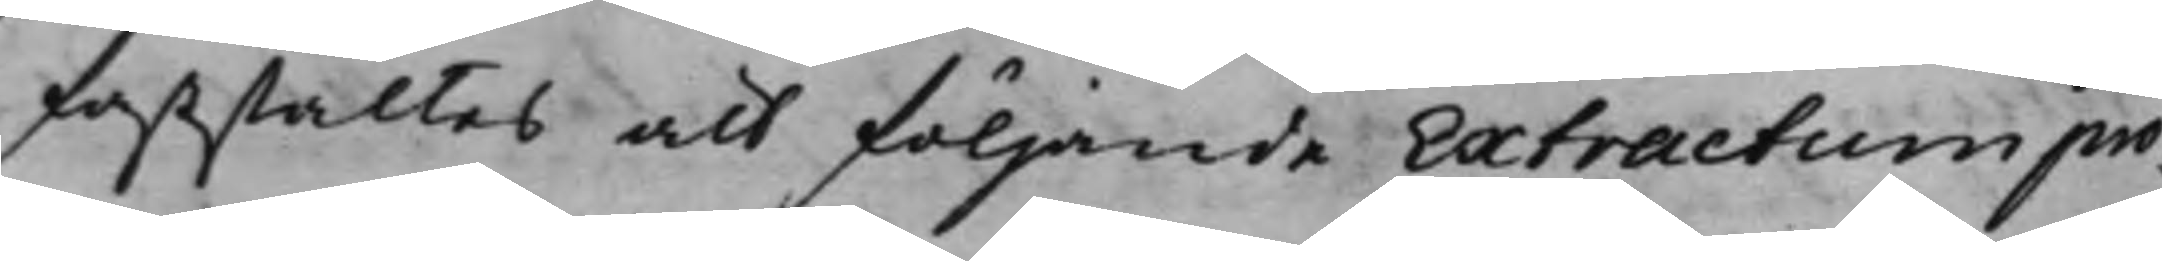faststältes att följande Extractum pro¬
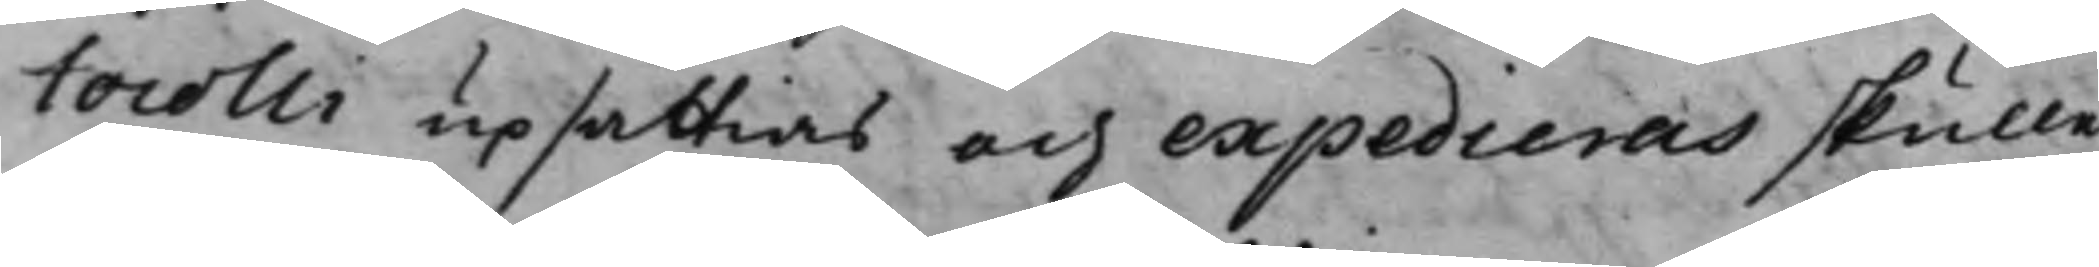tocolli upsättias och expedieras skulle.
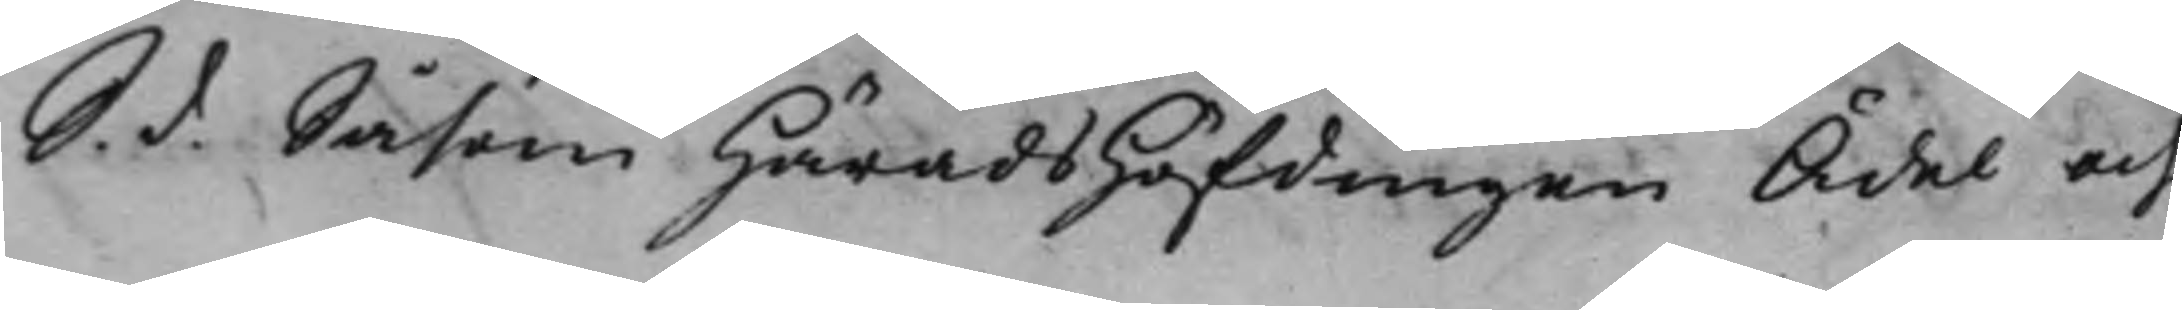S. d. Såsom HäradsHöfdingen Ädel och
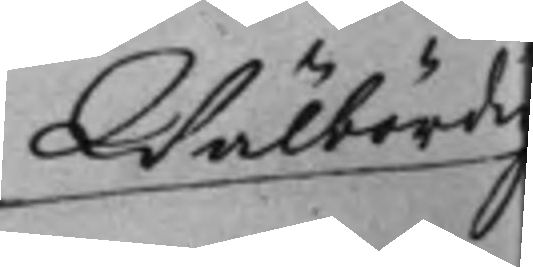Wälbördig
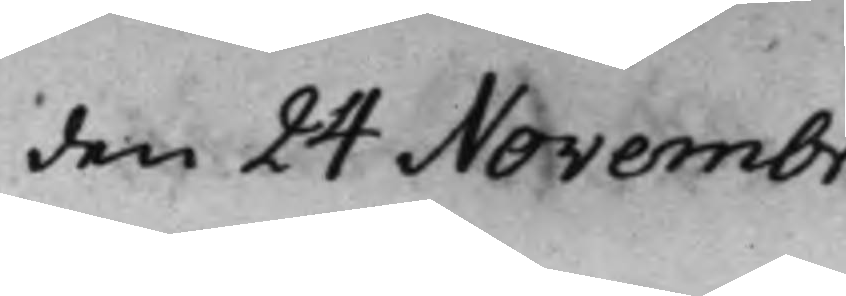den 24 Novembr.
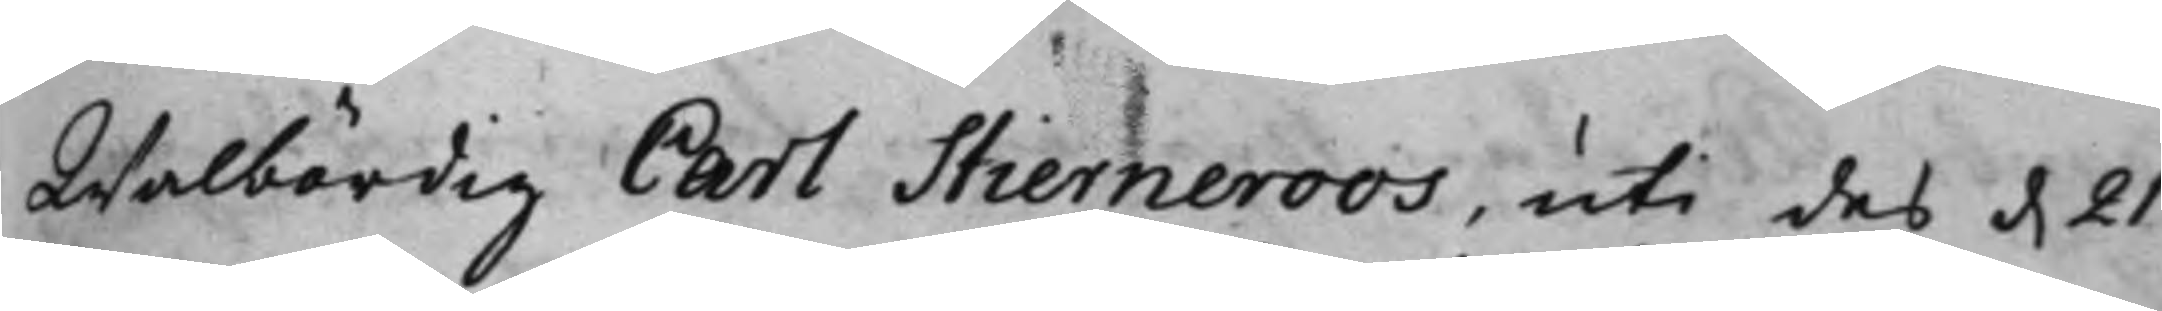Wälbördig Carl Stierneroos, uti des d. 21
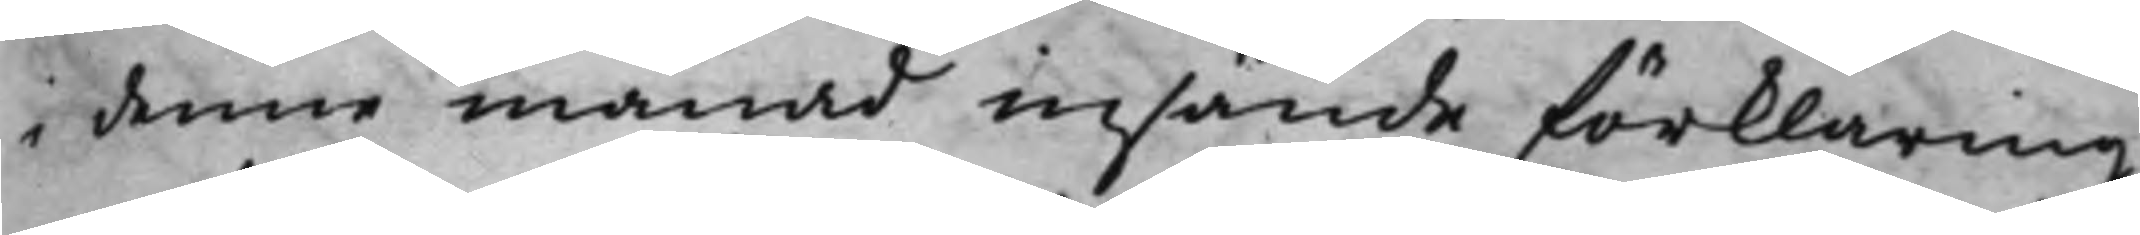i denna månad insände förklaring
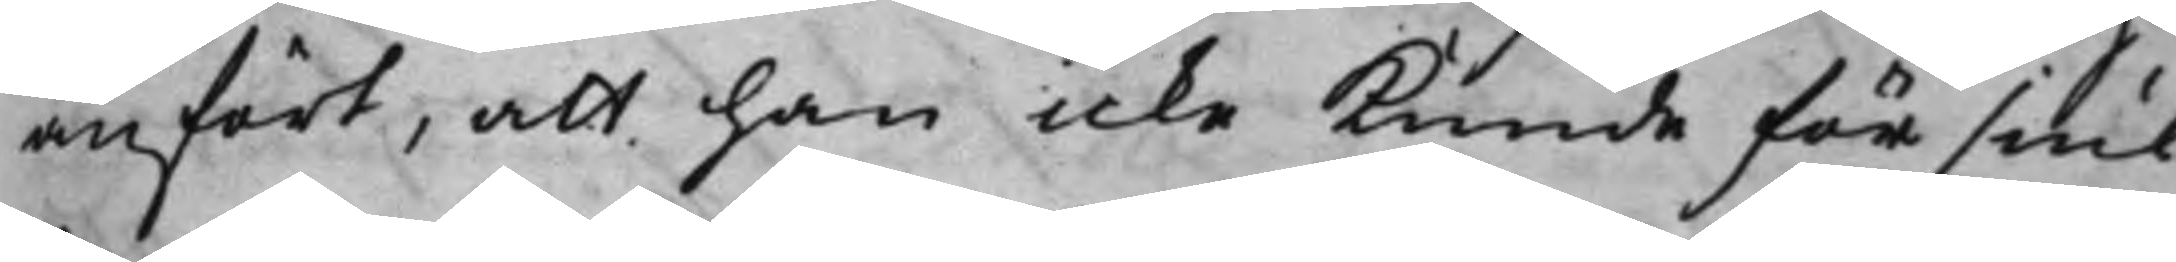anfört, att han icke kunde för siuk¬
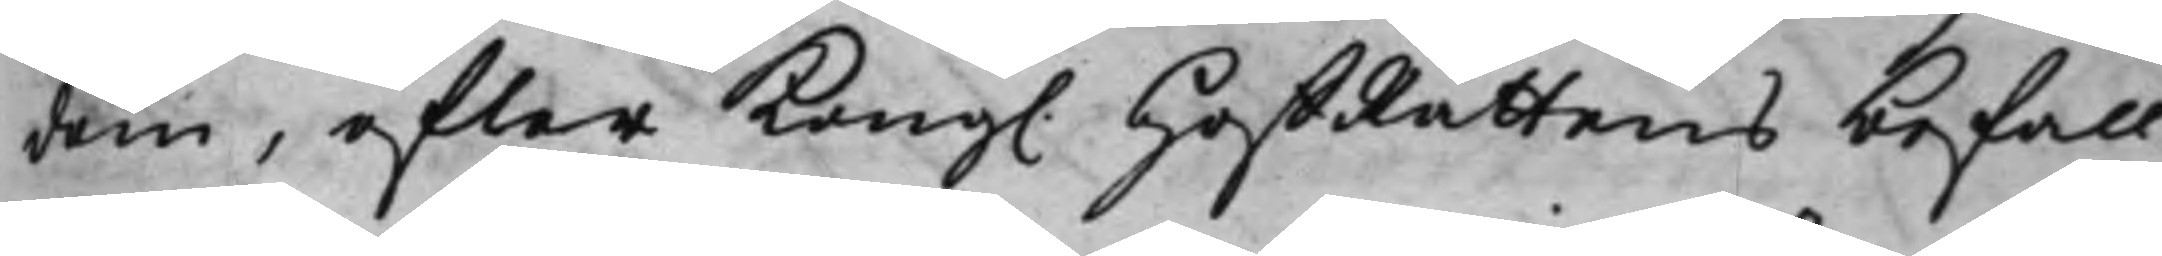dem, efter Kong. HoffRättens befall¬
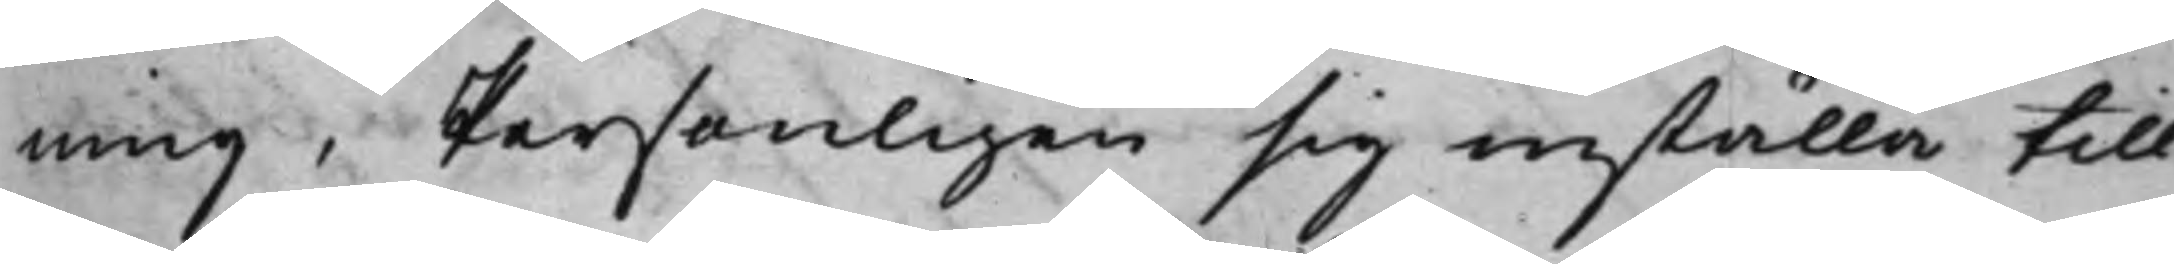ning, Personligen sig inställa till
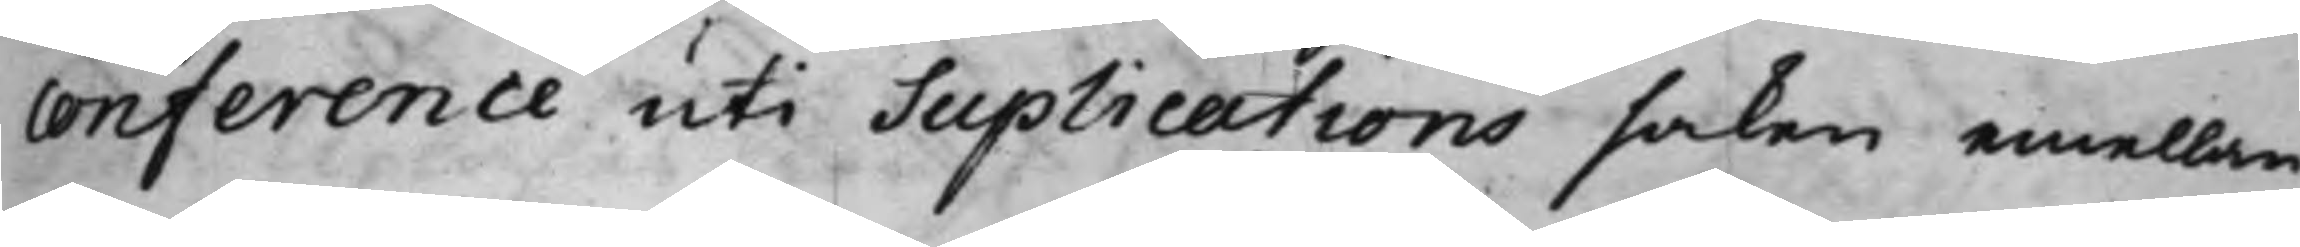conference uti Suplications saken emellan
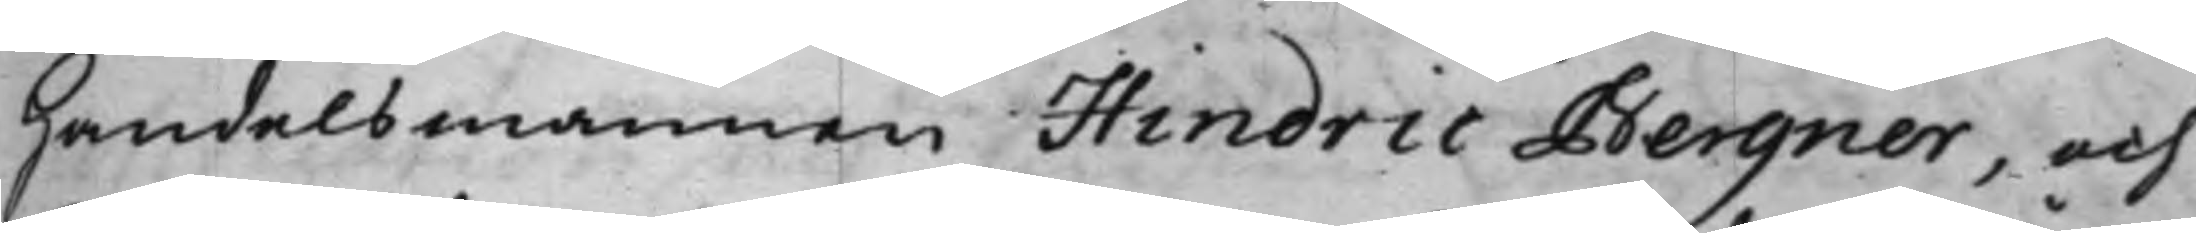Handelsmannen Hindric Bergner, och
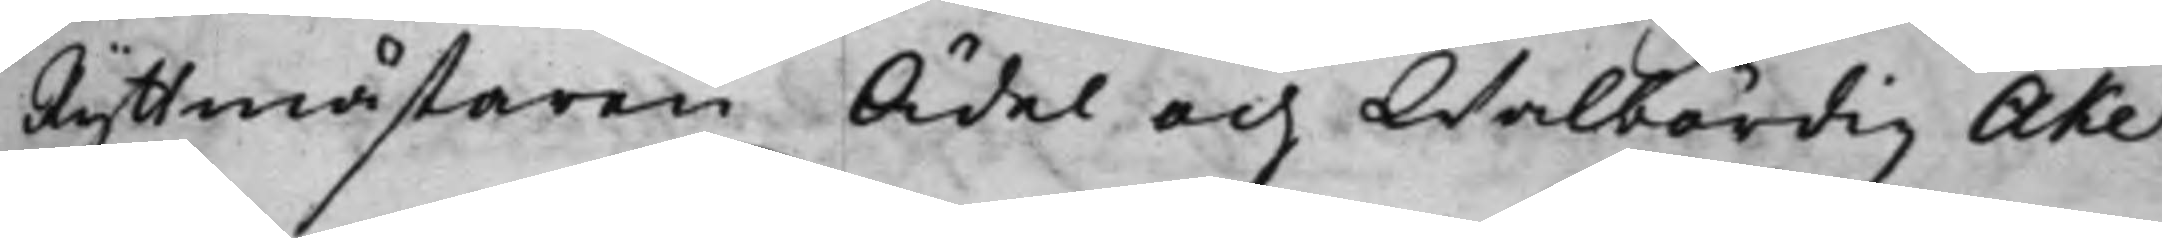Ryttmästaren Ädel och Wälbördig Åke
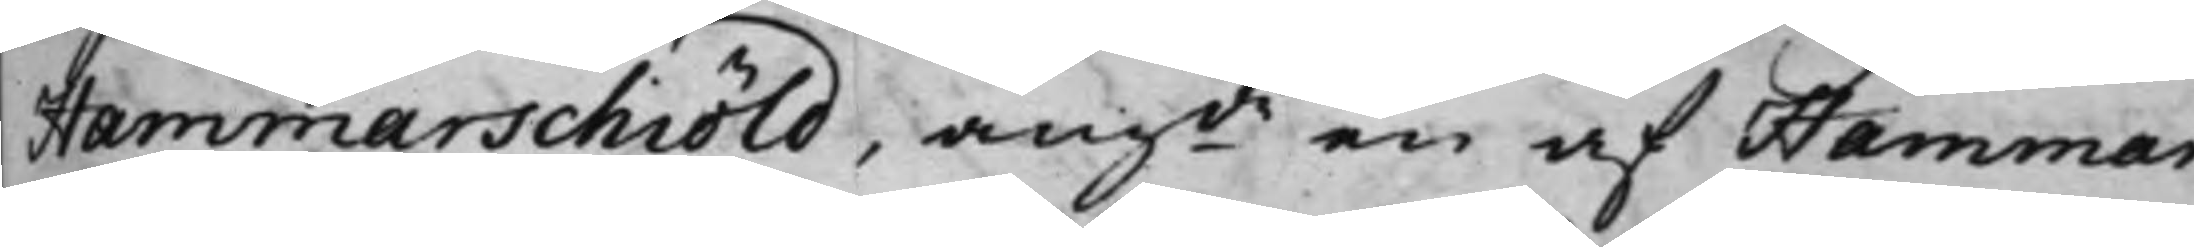Hammarschiöld, angde en af Hammar¬
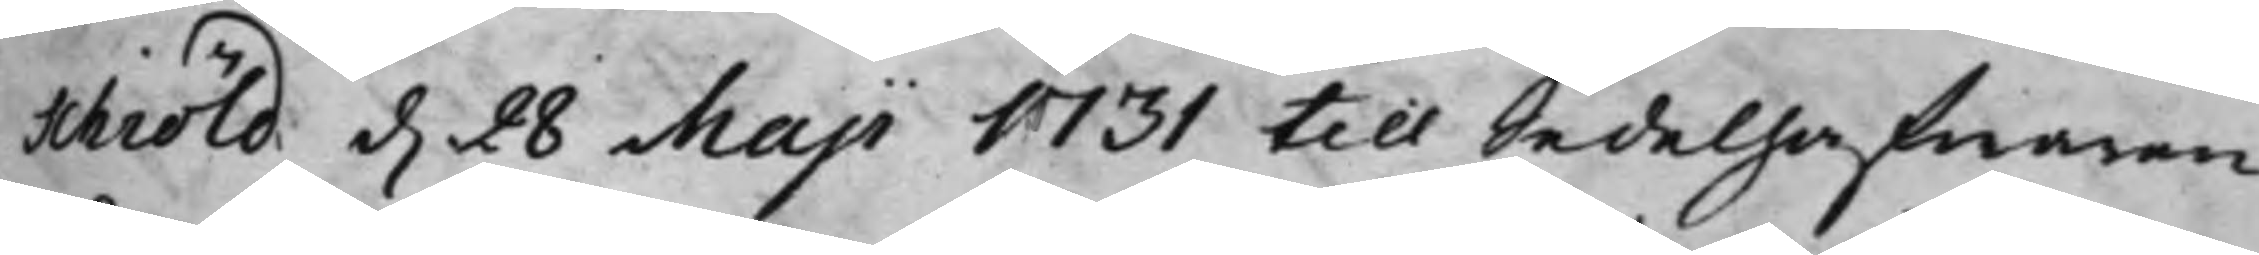schiöld d. 28 Maji 1731 till Sedelhafwaren
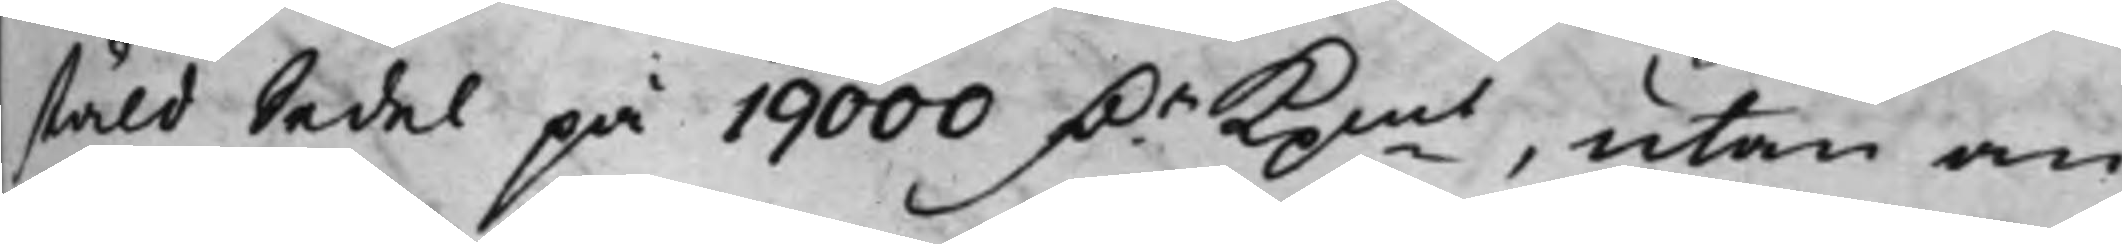stäld Sedel på 19000 D.r Kpmt, utan an¬
